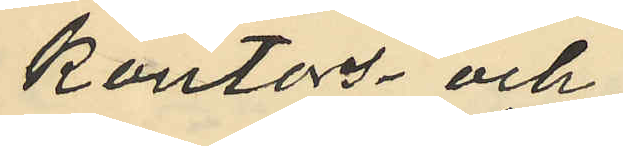kontors- och
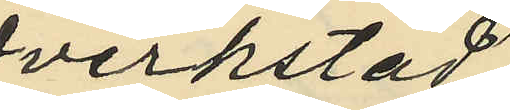verkstad¬
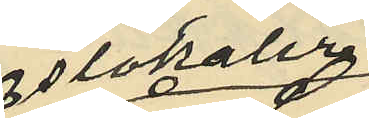slokaler
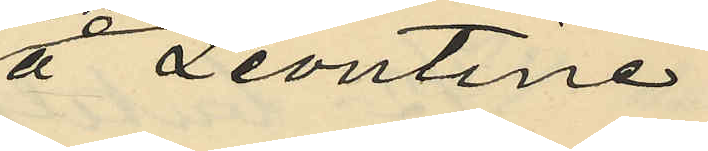å Leontine¬
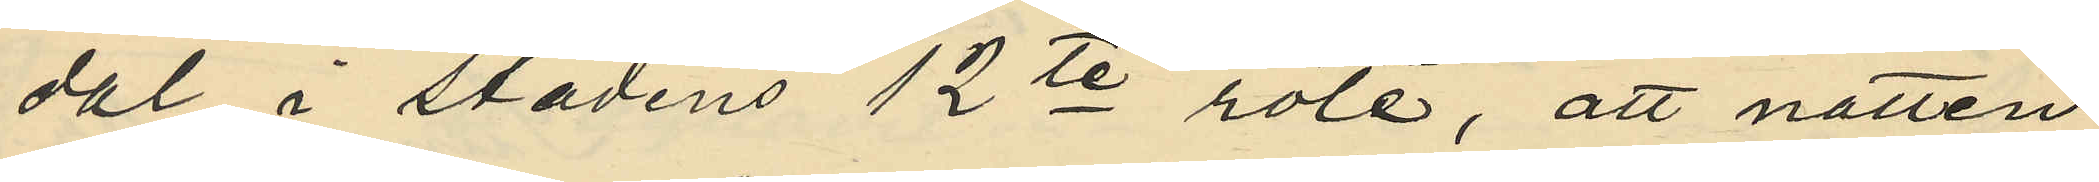dal i stadens 12te rote, att natten
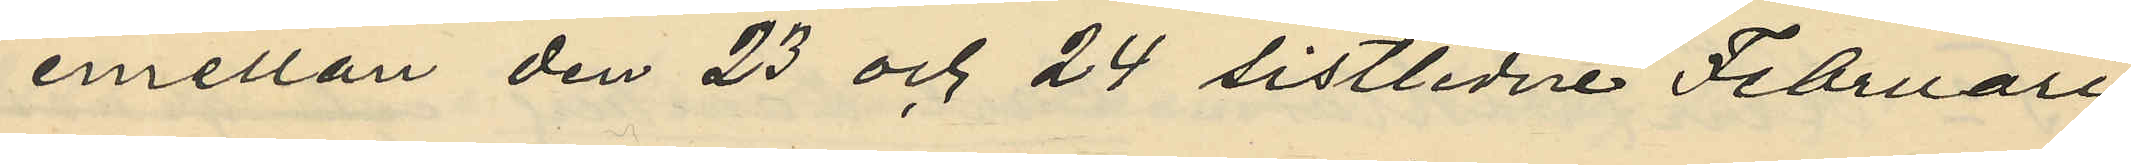emellan den 23 och 24 sistlidne Februari
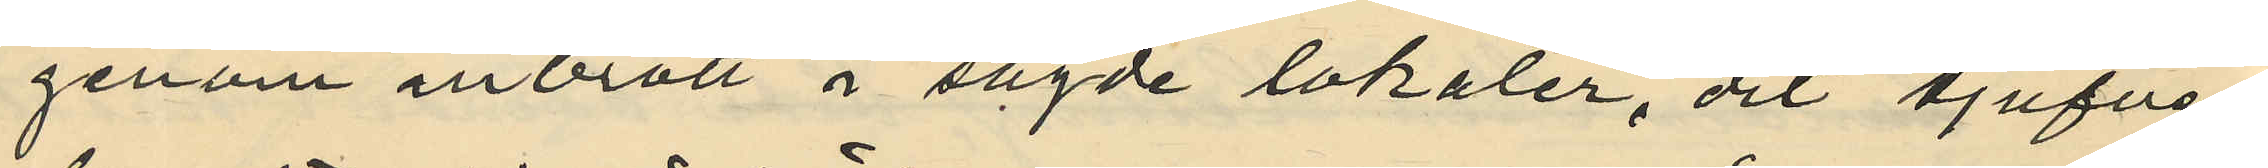genom inbrott i sagde lokaler, dit tjufven
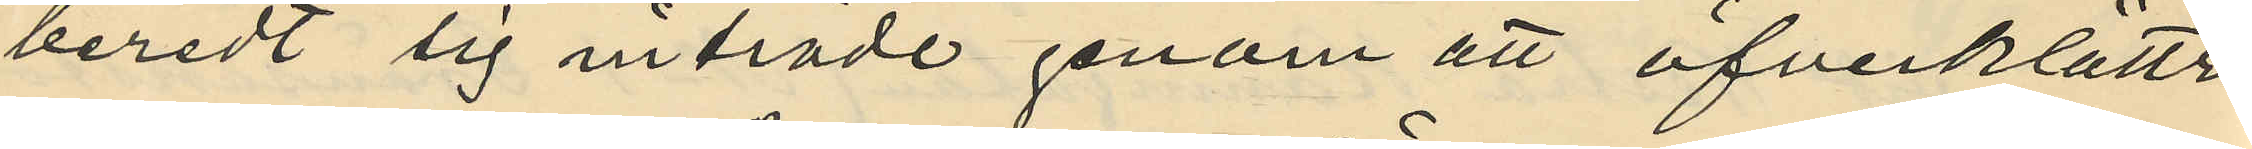beredt sig inträde genom att öfverklättra
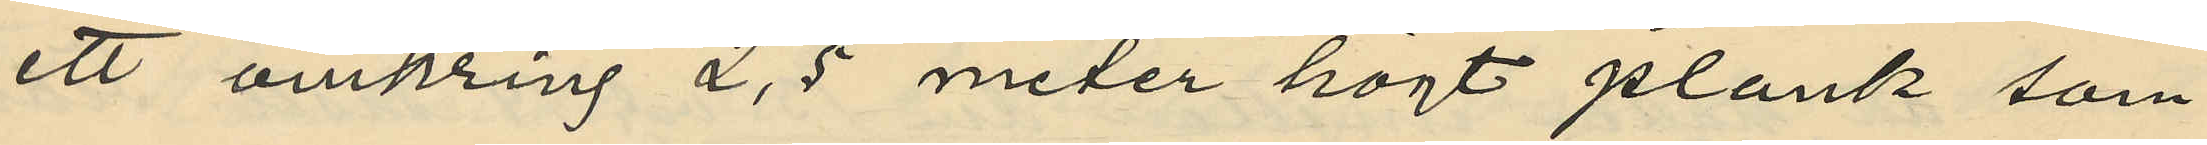ett omkring 2,5 meter högt plank som
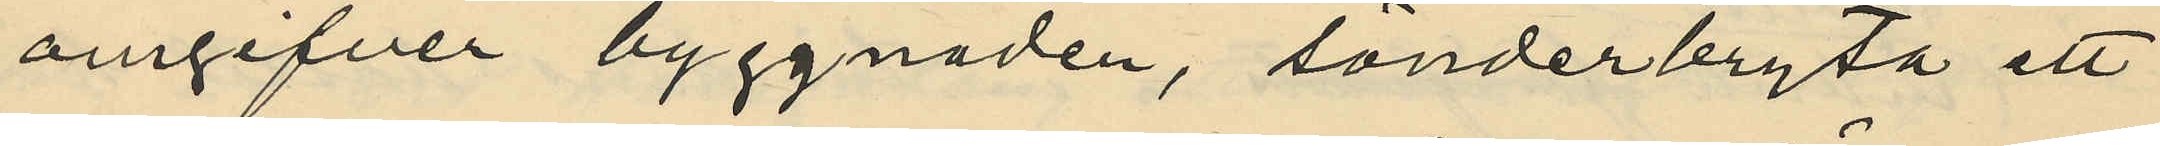omgifver byggnaden, sönderbryta ett
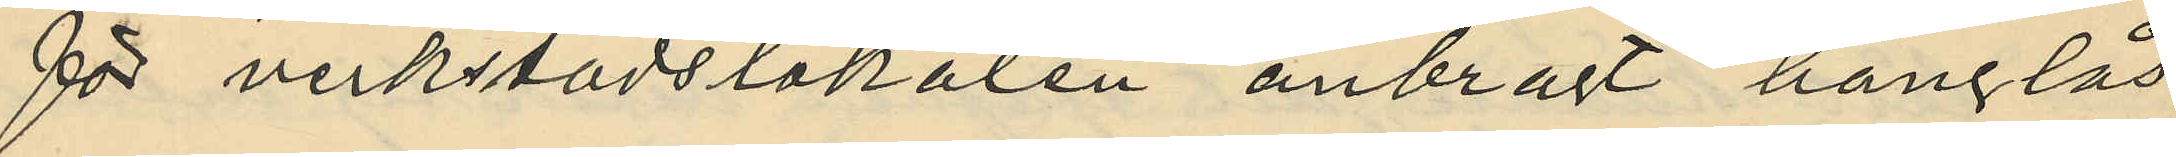för verkstadslokalen anbragt hänglås
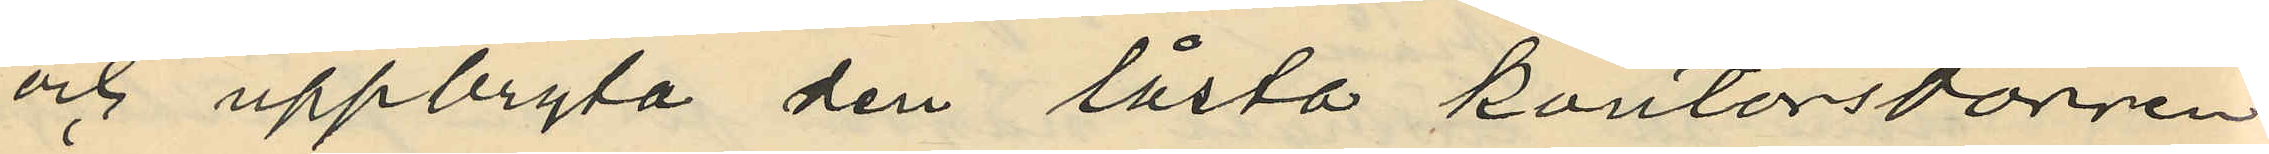och uppbryta den låsta kontorsdörren
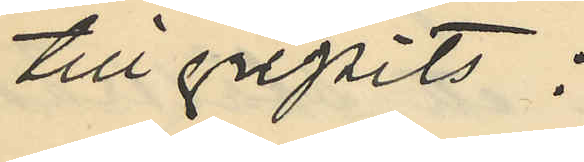tillgripits:
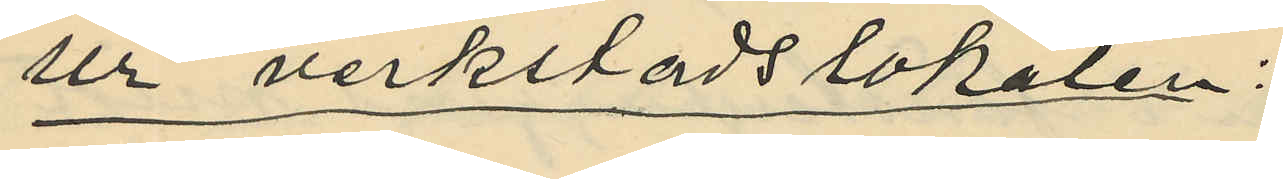Ur verkstadslokalen;
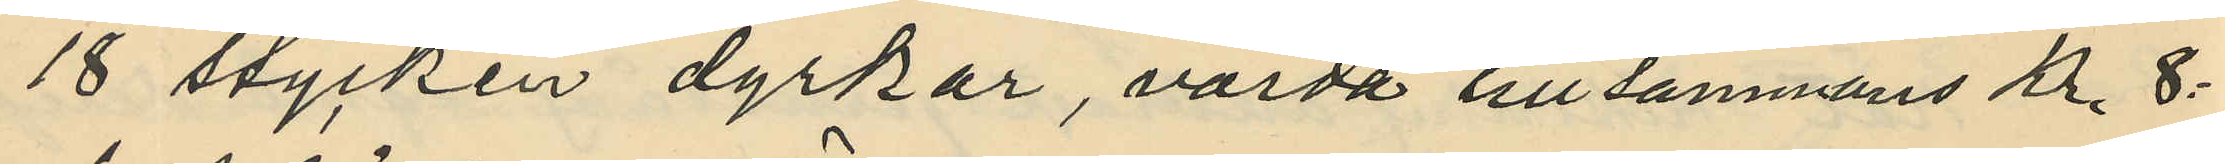18 stycken dyrkar, värda tillsammans Kr 8:
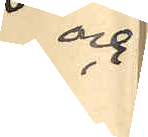och
